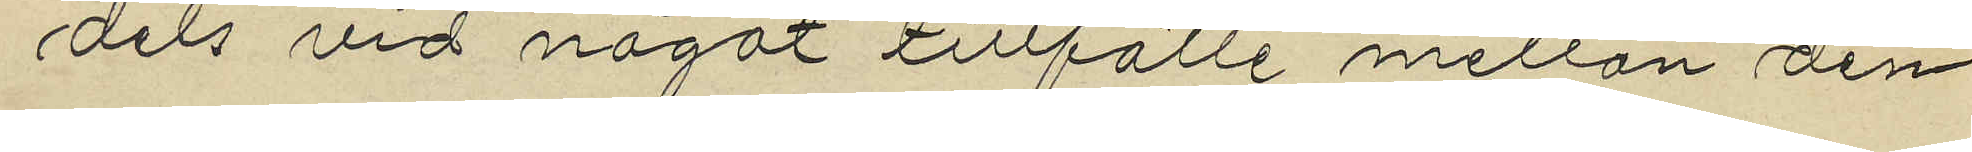dels vid något tillfälle mellan den
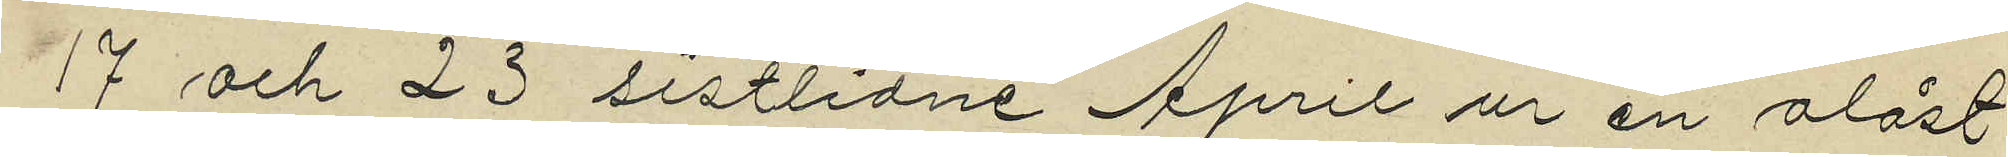17 och 23 sistlidne April ur en olåst
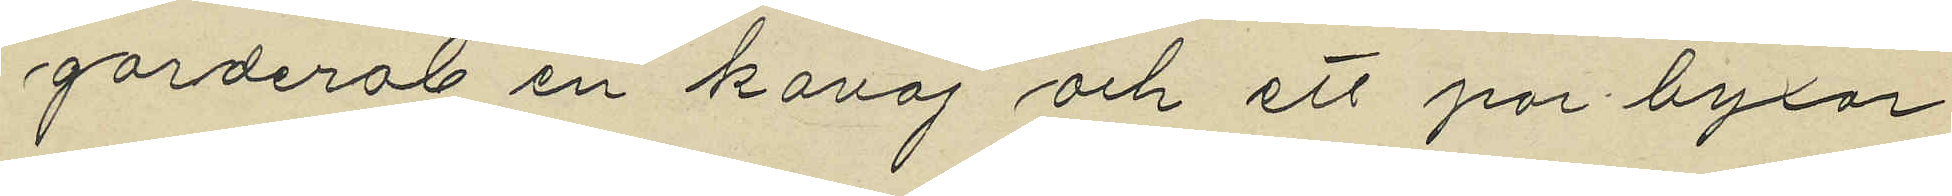garderob en kavaj och ett par byxor
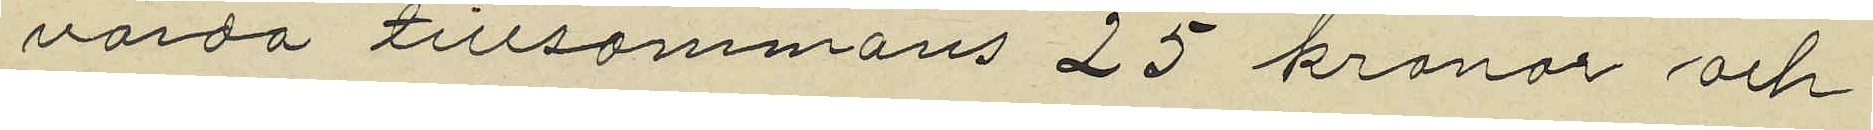värda tillsammans 25 kronor och
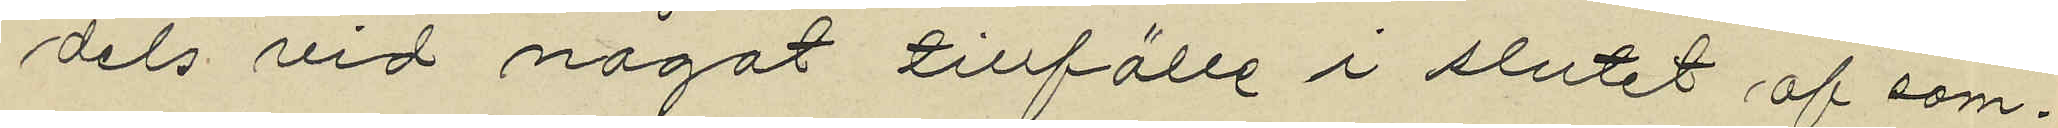dels vid något tillfälle i slutet af sam¬
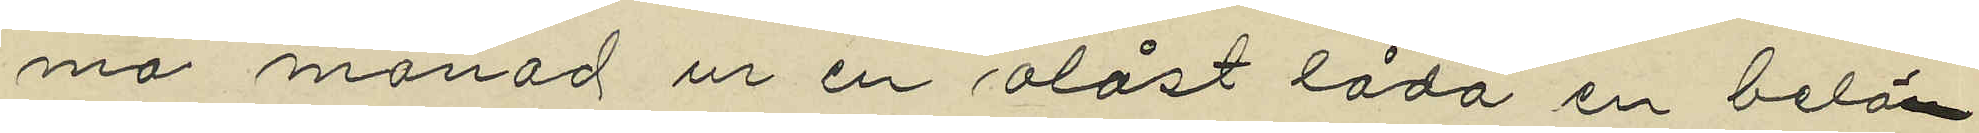ma månad ur en olåst låda en belön¬
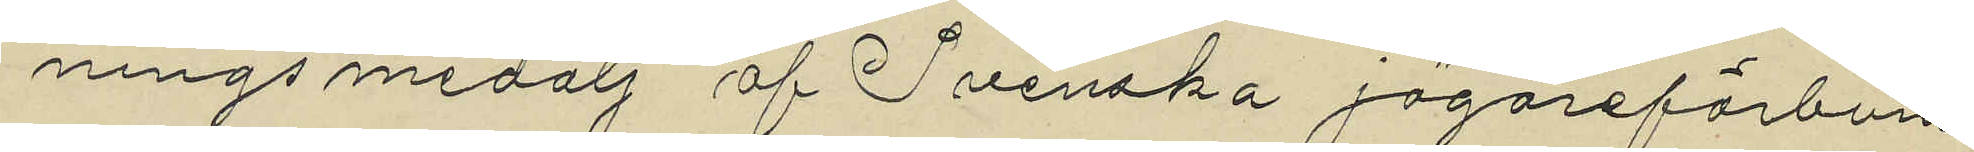nings medalj af Svenska jägareförbun¬
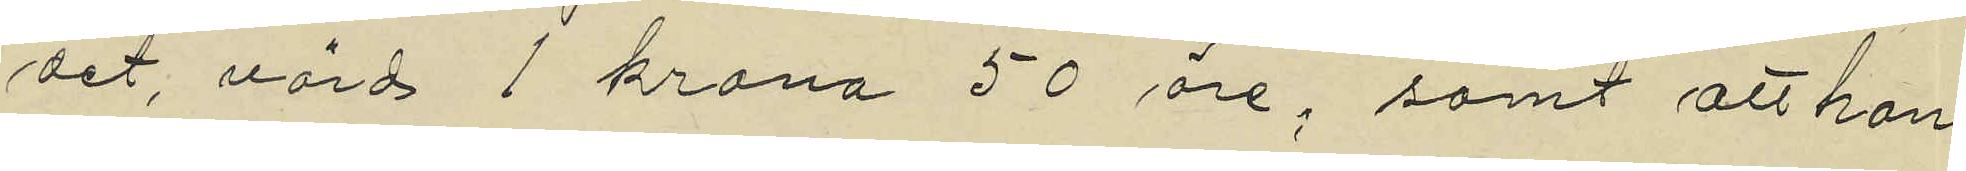det, värd 1 krona 50 öre, samt att han
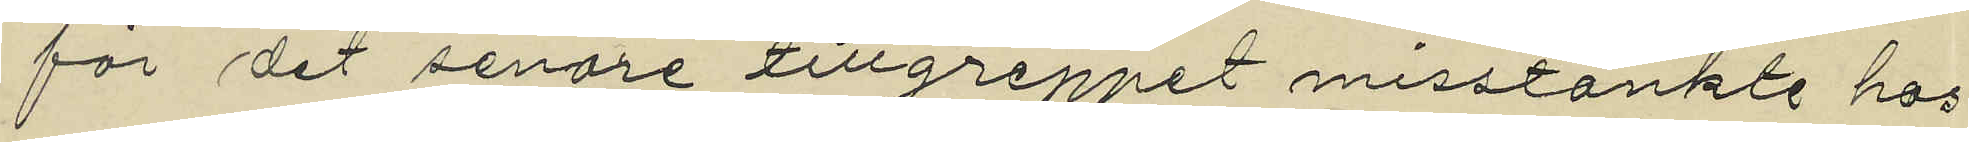för det senare tillgreppet misstänkte hos
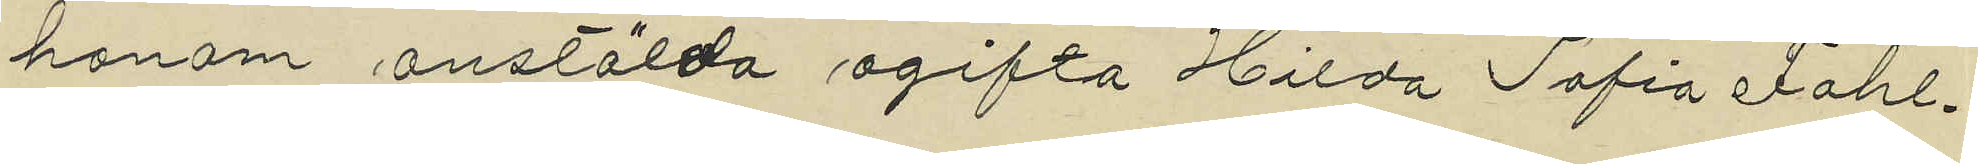honom anstälda ogifta Hilda Sofia Dahl¬
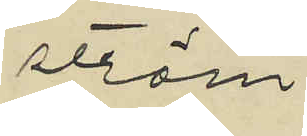ström
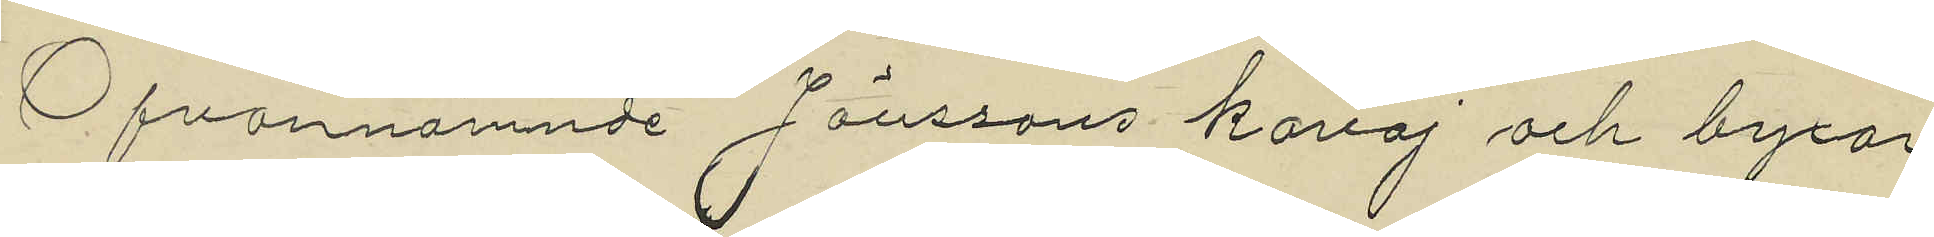Ofvannämnde Jönssons kavaj och byxor
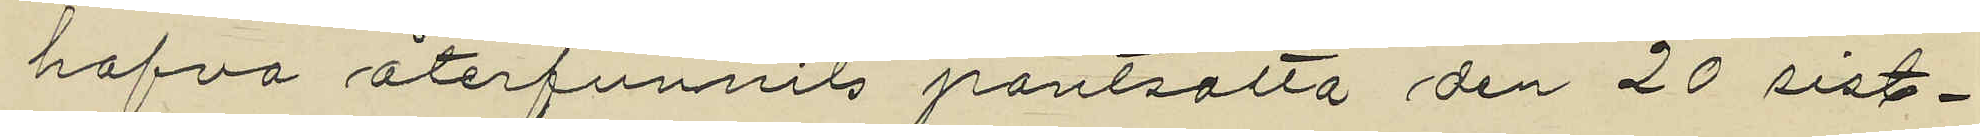hafva återfunnits pantsatta den 20 sist¬
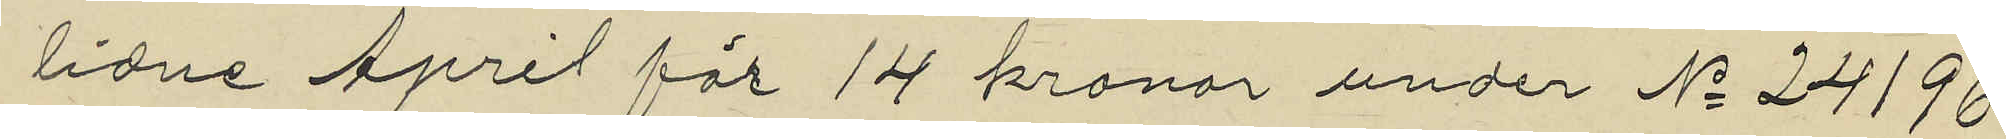lidne April för 14 kronor under No 24196
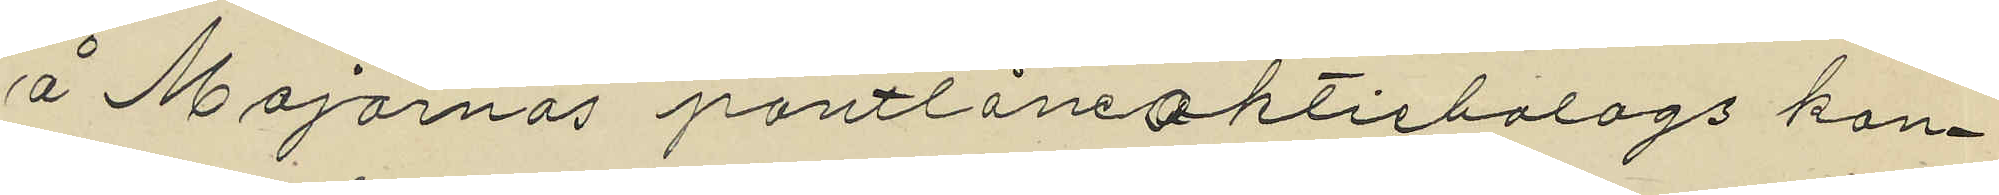å Majornas pantlåneaktiebolags kon¬
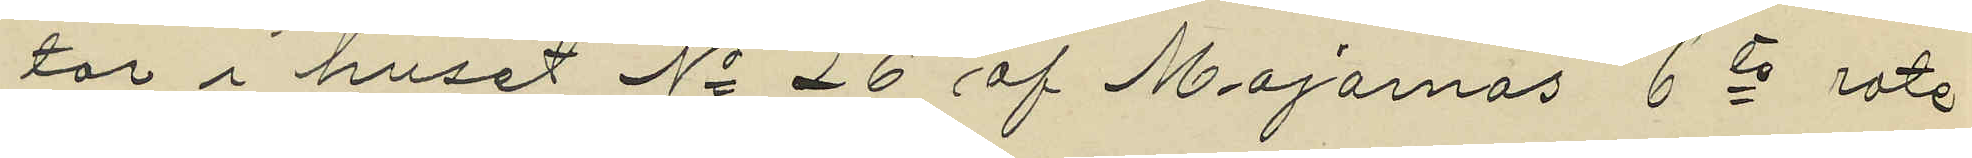tor i huset No 26 af Majornas 6te rote
